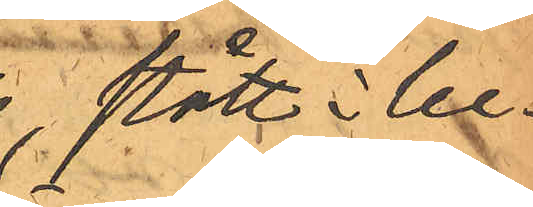stått i be¬
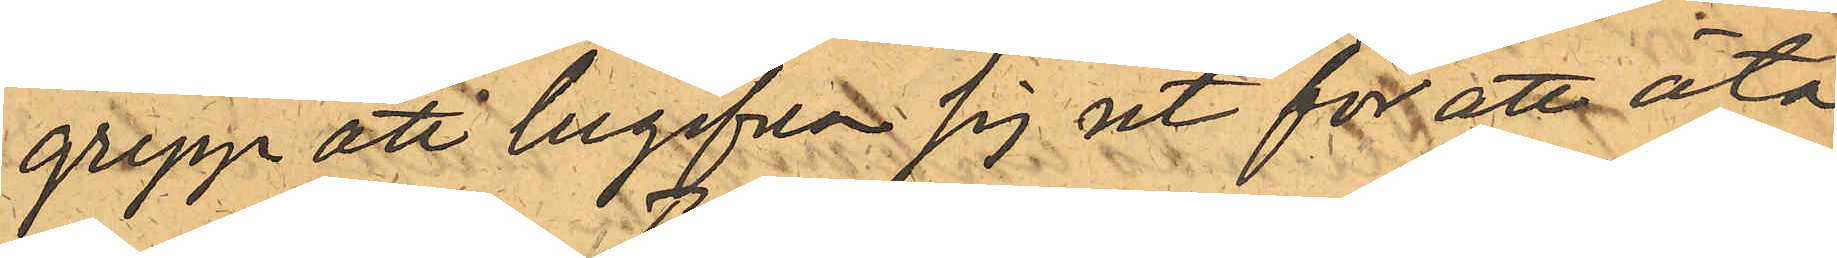grepp att begifva sig ut för att äta
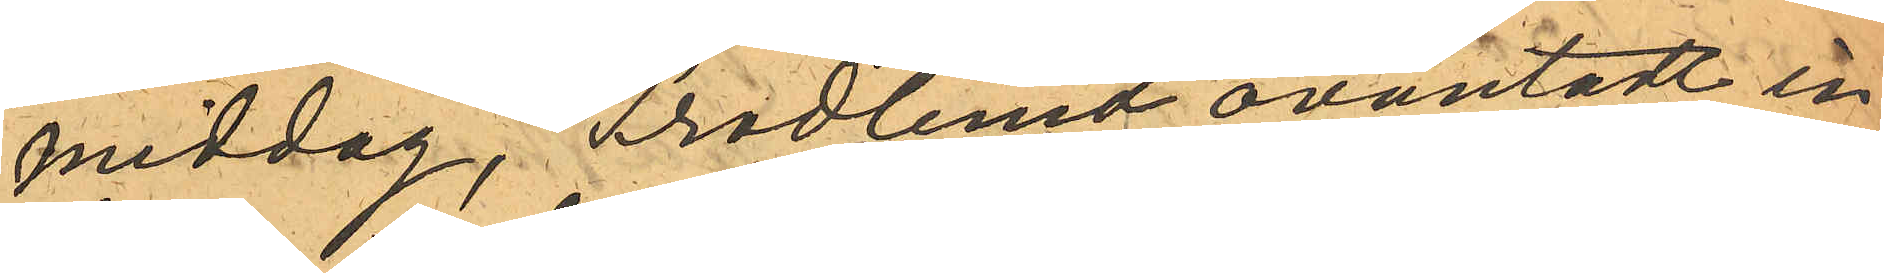middag, Frodlund oväntadt in¬
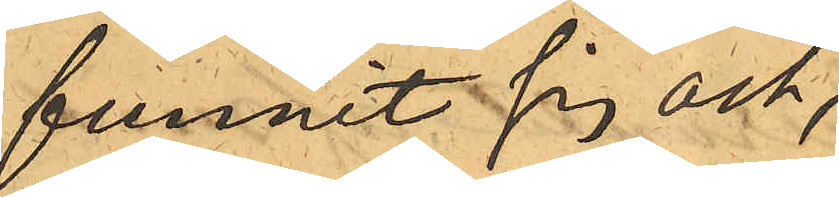funnit sig och,
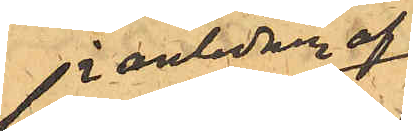i anledning af
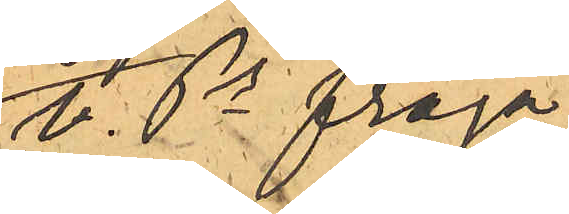v. Ps fråga
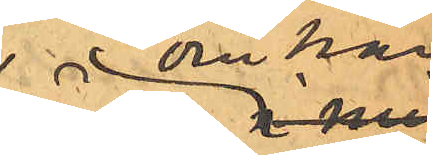om han
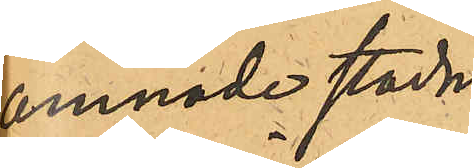ämnade stadna
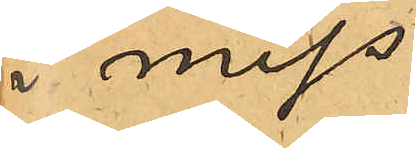i miss¬
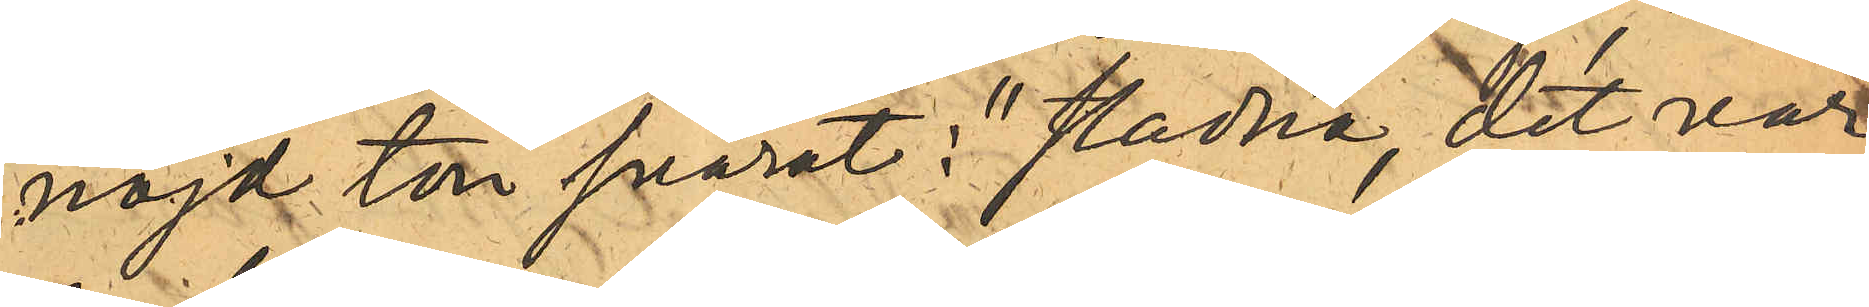nöjd ton svarat i "stadna, det var
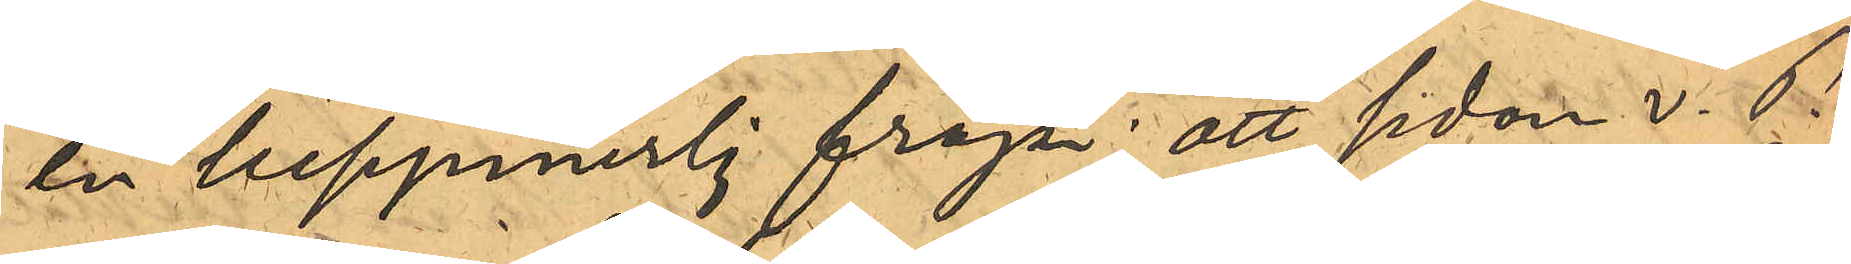en besynnerlig fråga"; att sedan v. P.
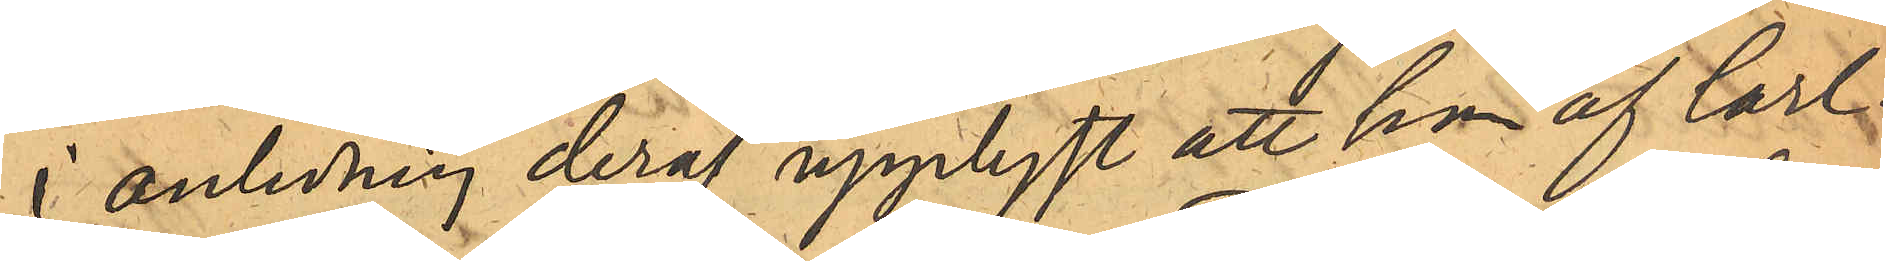i anledning deraf upplyst att han af Carl¬
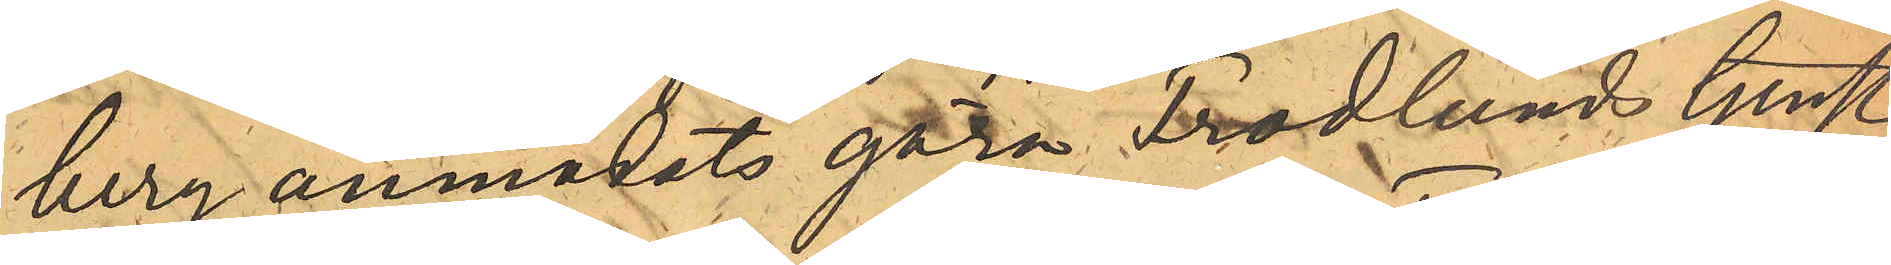berg anmodats göra Frodlunds tjenst,
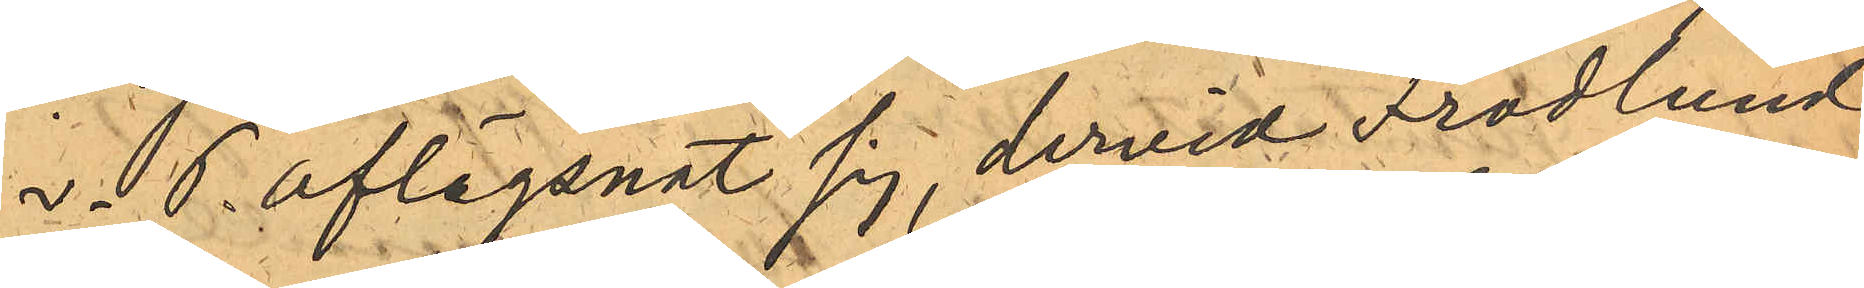v. P. aflägsnat sig, dervid Frodlund
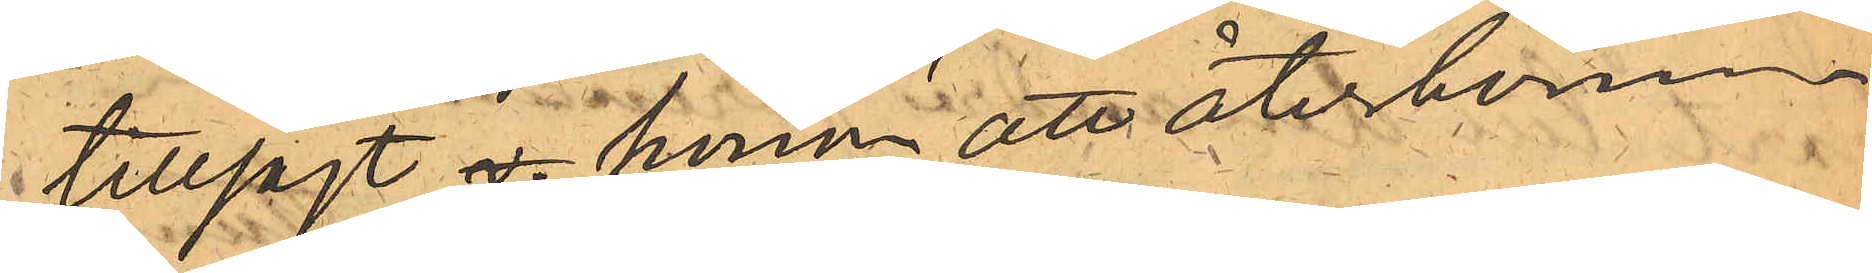tillsagt v. honom att återkomma
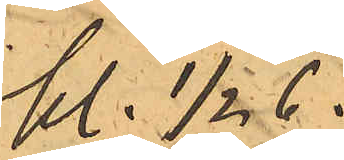kl. 1/2 6.
